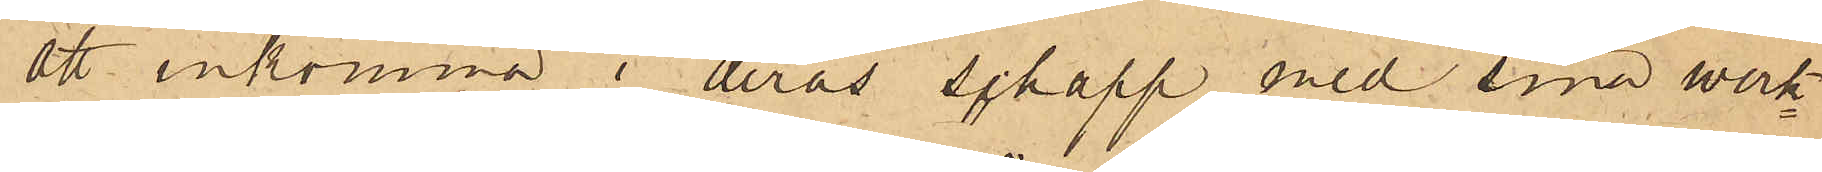att inkomma i deras schapp, med sina werk¬
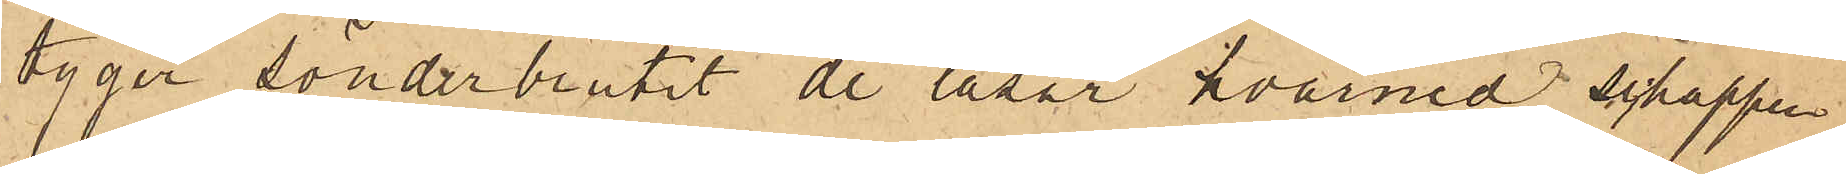tyger sönderbrutit de låsar hvarmed schappen
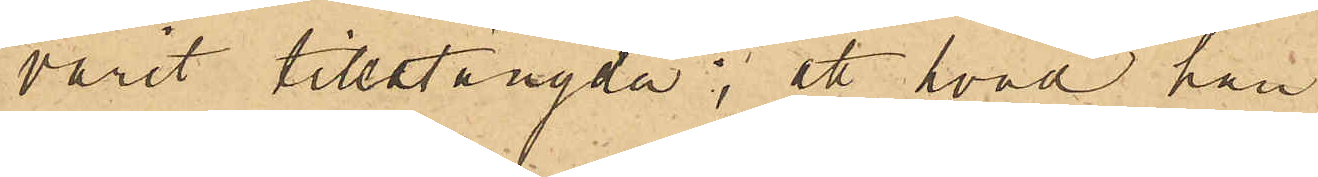varit tillstängda; att hvad han
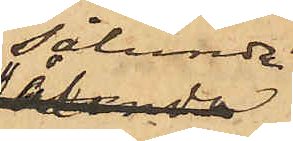sålunda
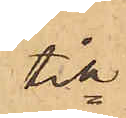till¬
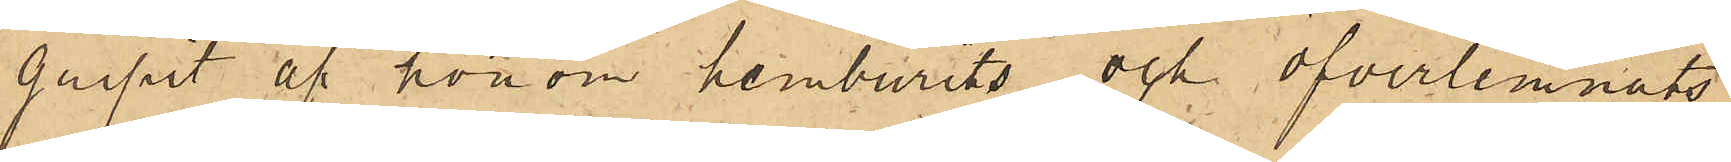gripit af honom hemburits och öfverlemnats
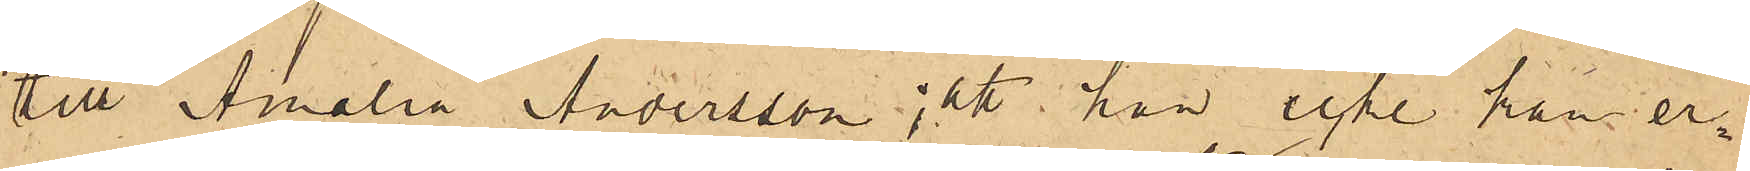till Amalia Andersson; att han icke kan er¬
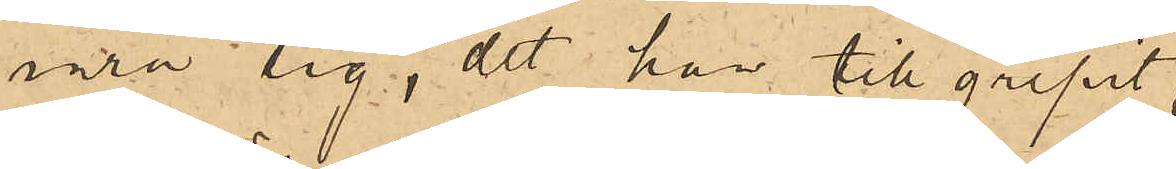inra sig, det han tillgripit,
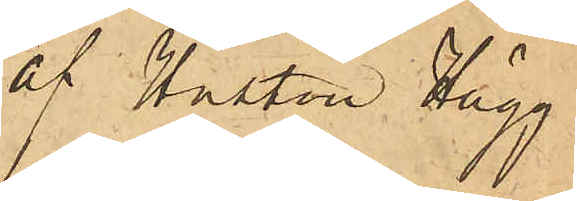af Hustrun Hägg
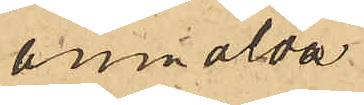anmälda
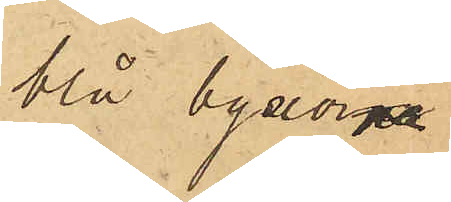blå byxorna,
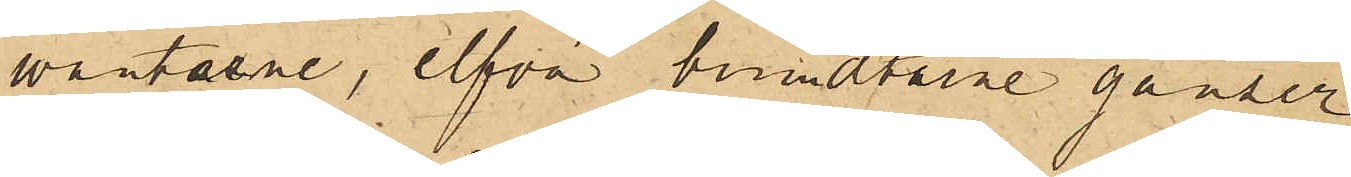vantarne, elfva bundtarne ganzer,
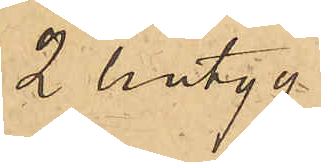2 lintyg
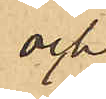och
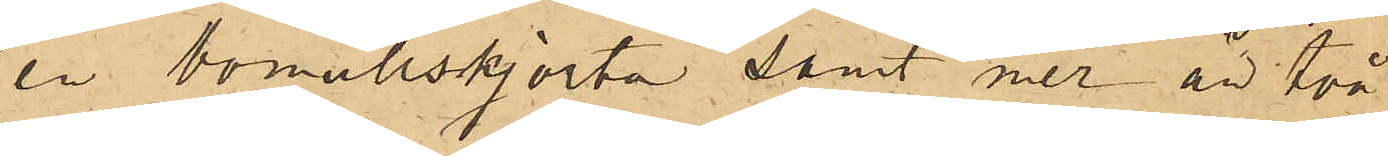en bomullskjorta samt mer än två
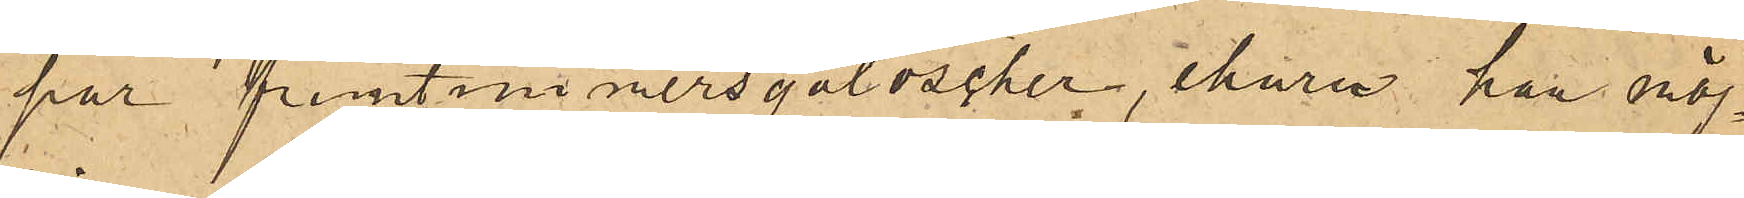par fruntimmersgaloscher, ehuru han möj¬
